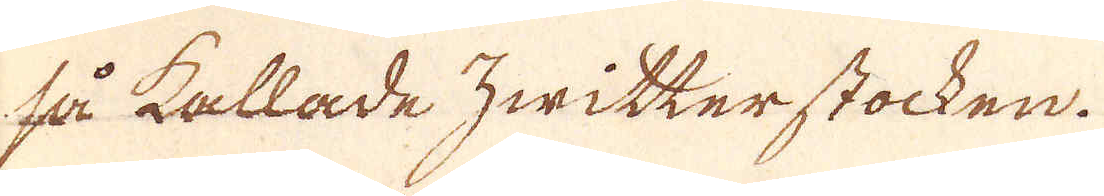så kallade zwitterstocken.
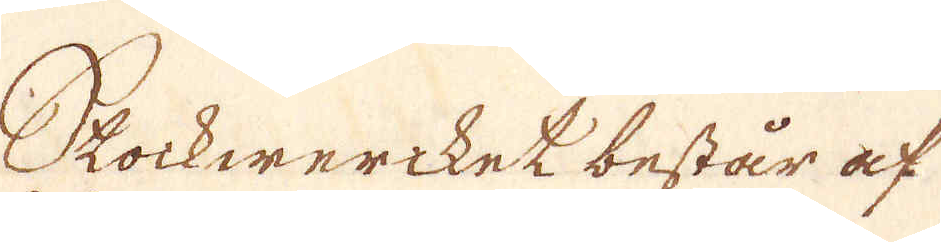Stockweriket består af
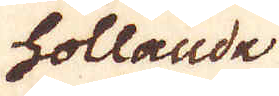hollande
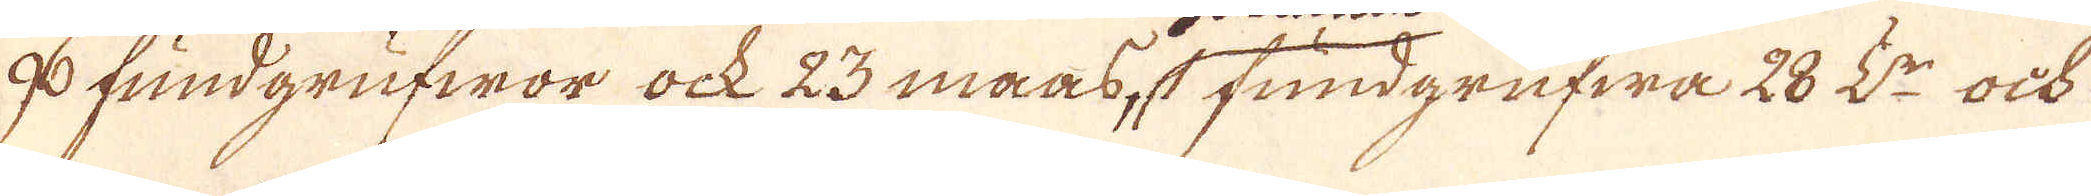96 fundgrufwor ock 23 maas, 1 fundgrufwa 28 L:r ock
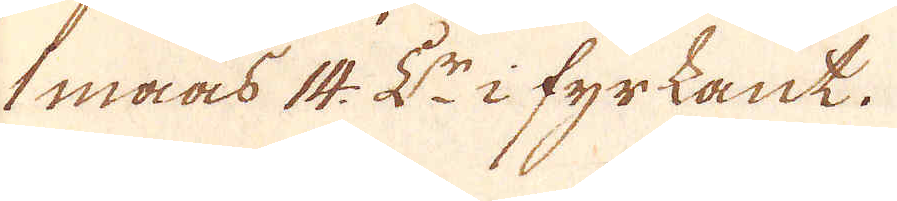1 maas 14. L:r i fyrkant.
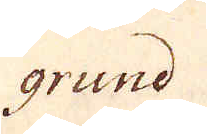grund
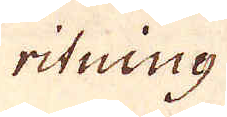ritning
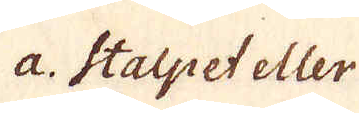a. Stalpet eller
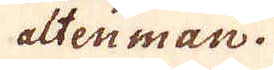altenman.
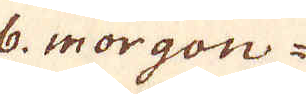6: morgon-
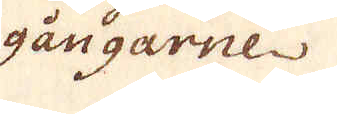gångarne
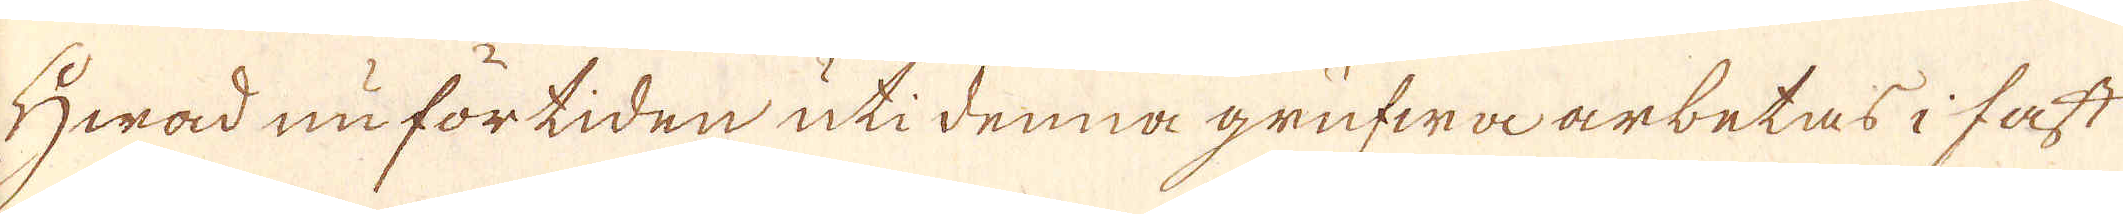Hwad nu fortiden uti denna grufwa arbetas i fast
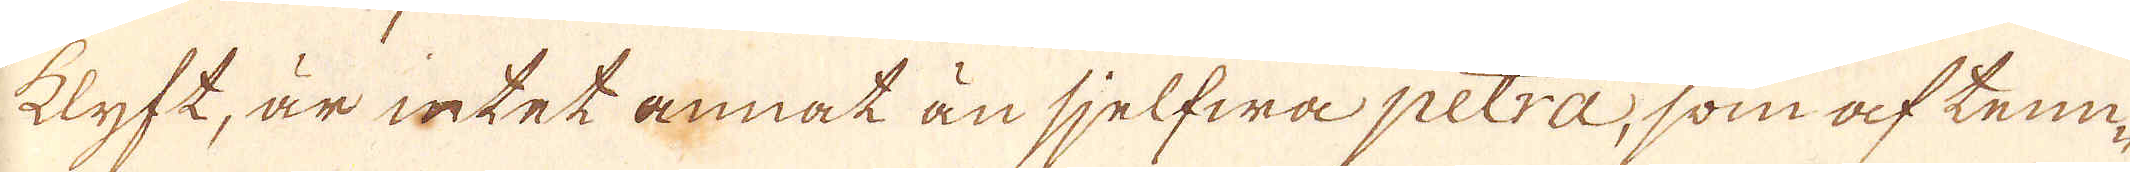klyft, är intet annat än sjelfwapetra, som af tenn-
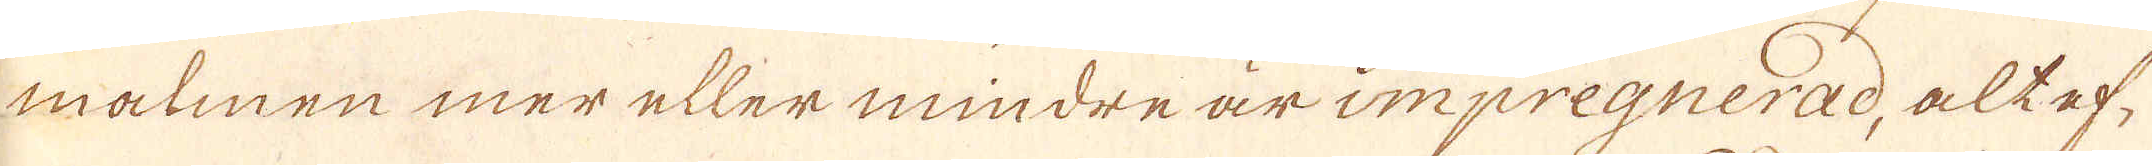malmen mer eller mindre är impregnerad, alt ef-
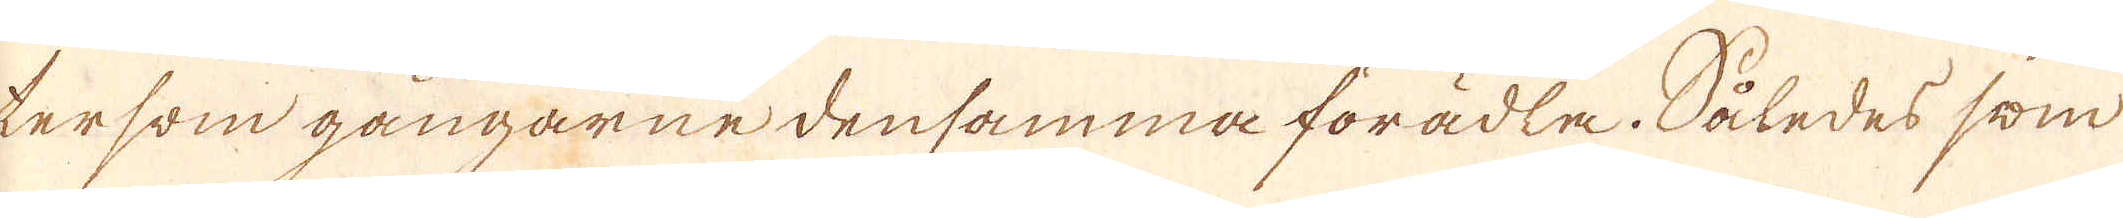tersom gångarne densamma förädla. Således som
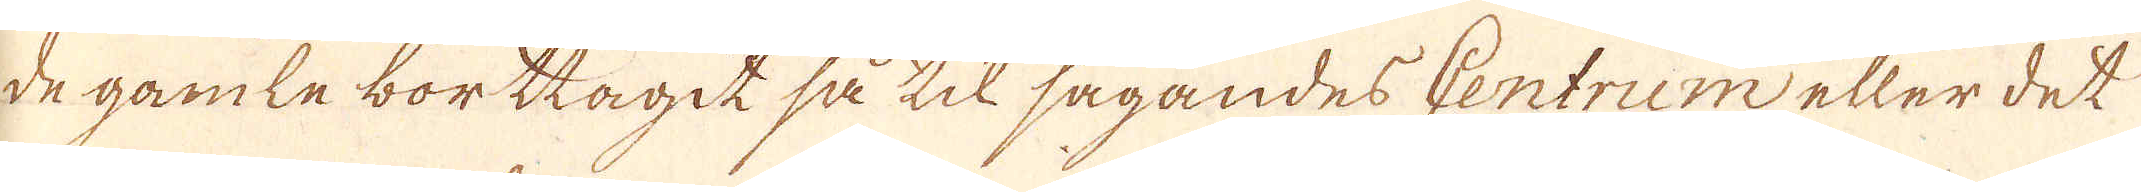de gamle borttagit så til sagandes Centrum eller det
